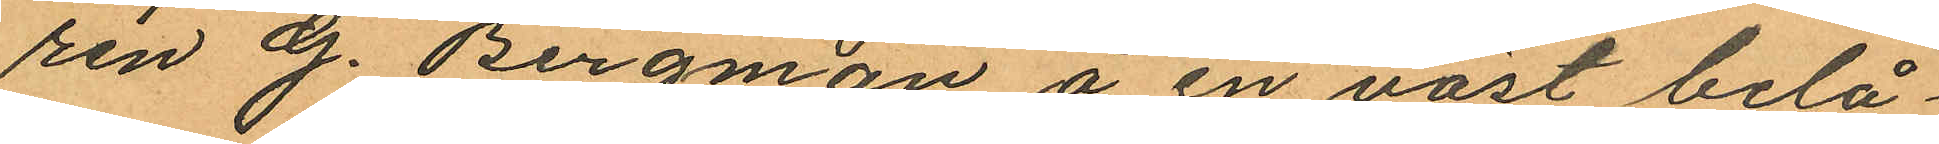ren G. Bergman å en väst belå¬
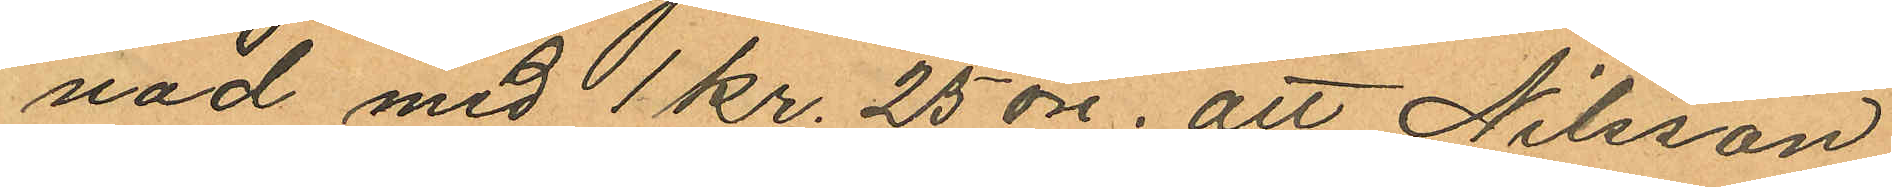nad med 1 kr. 25 öre; att Nilsson
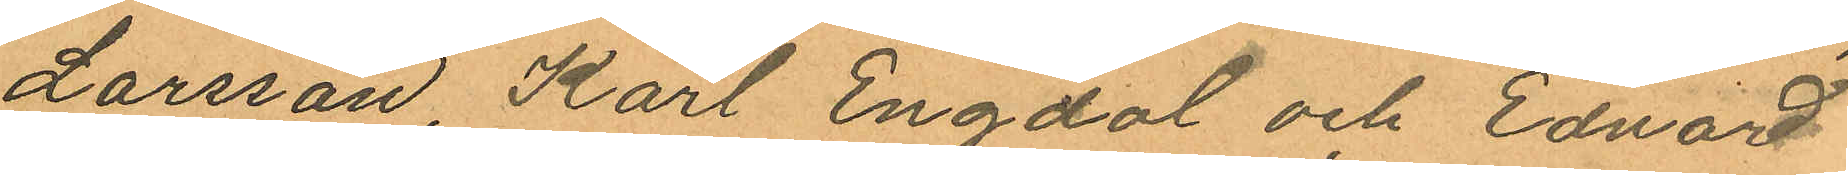Larsson, Karl Engdal och Edvard
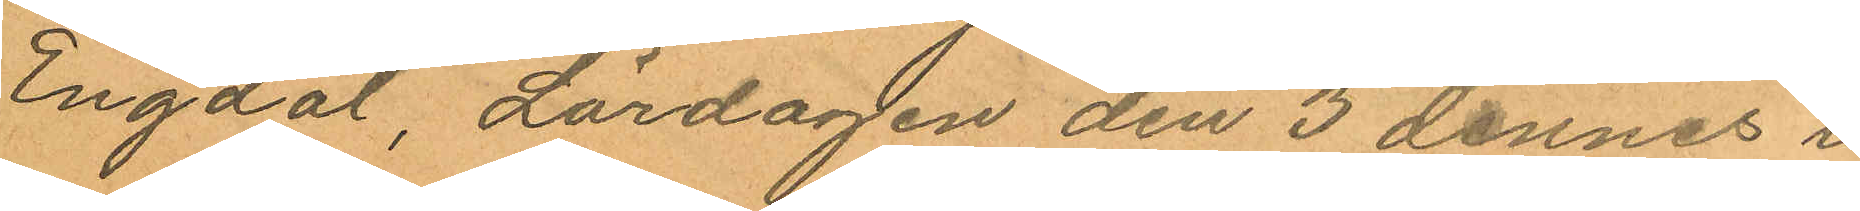Engdal, Lördagen den 3 dennes i
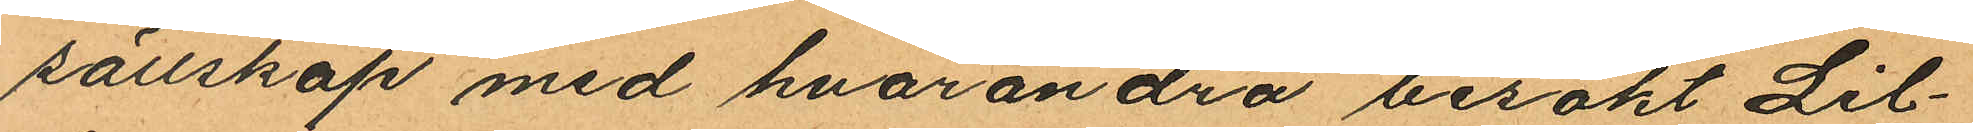sällskap med hvarandra besökt Lil¬
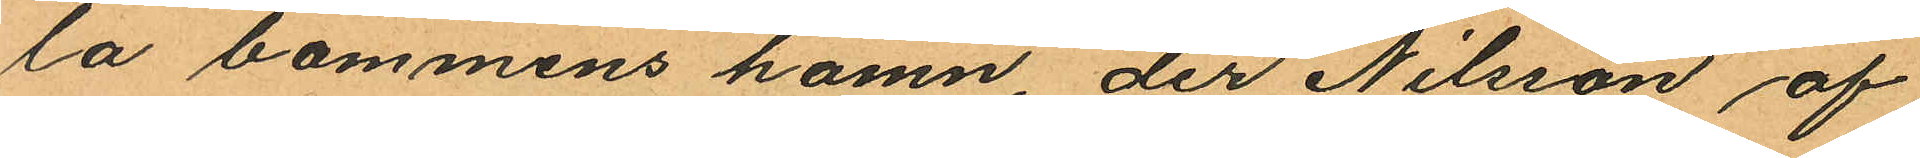la bommens hamn der Nilsson af
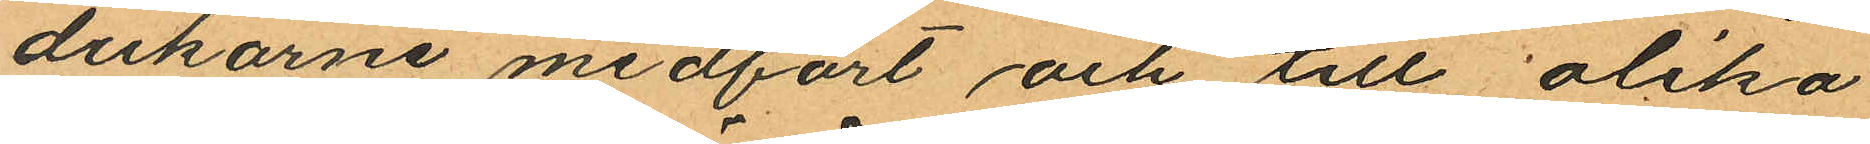dukarne medfört och till olika
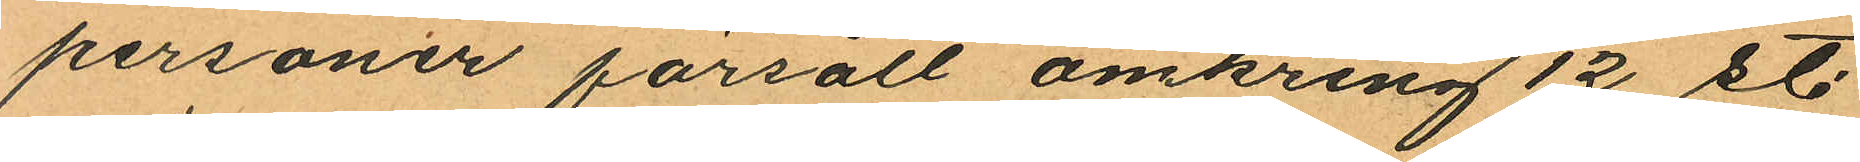personer försålt omkring 12 st.
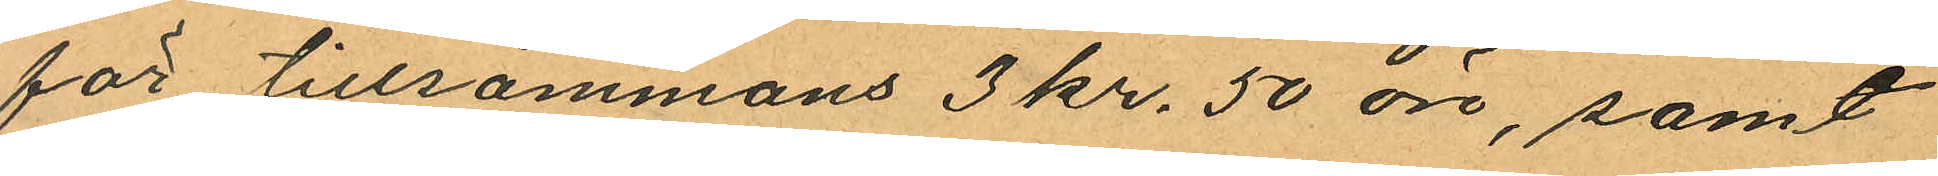för tillsammans 3 kr. 50 öre, samt
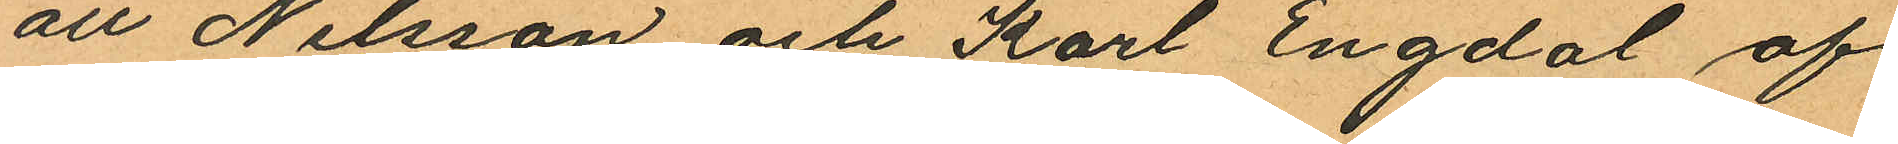att Nilsson och Karl Engdal af
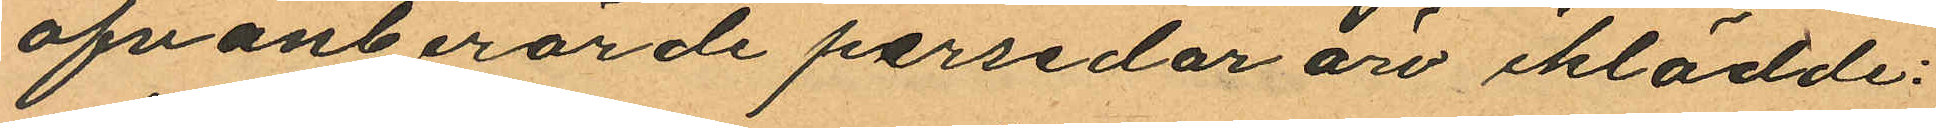ofvanberörde persedar äro iklädde:
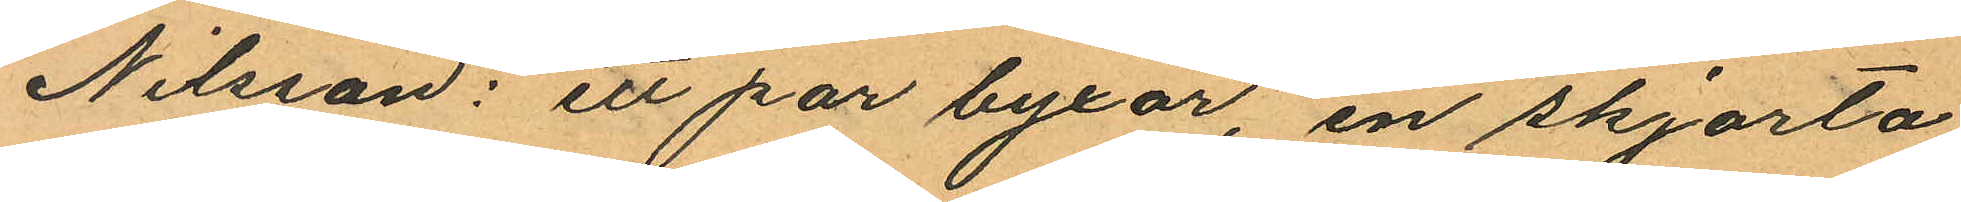Nilsson: ett par byxor, en skjorta
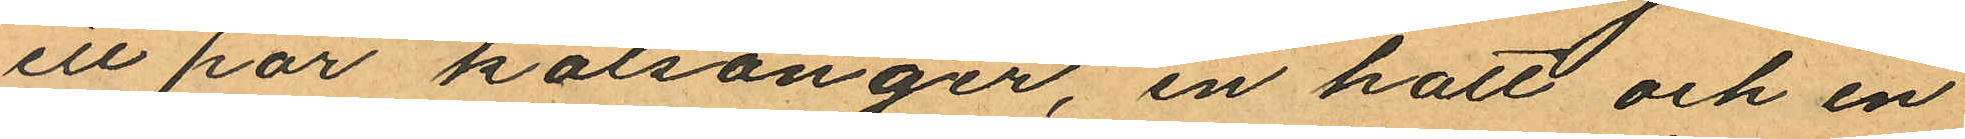ett har kalsonger, en hatt och en
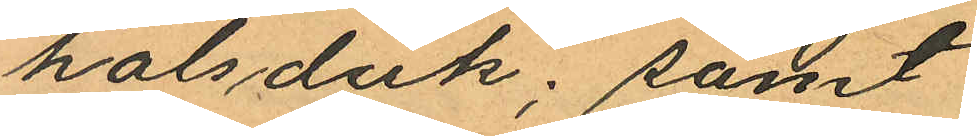halsduk; samt
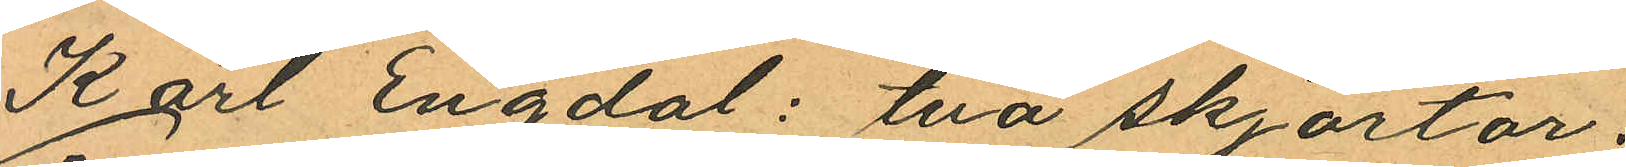Karl Engdal: två skjortor;
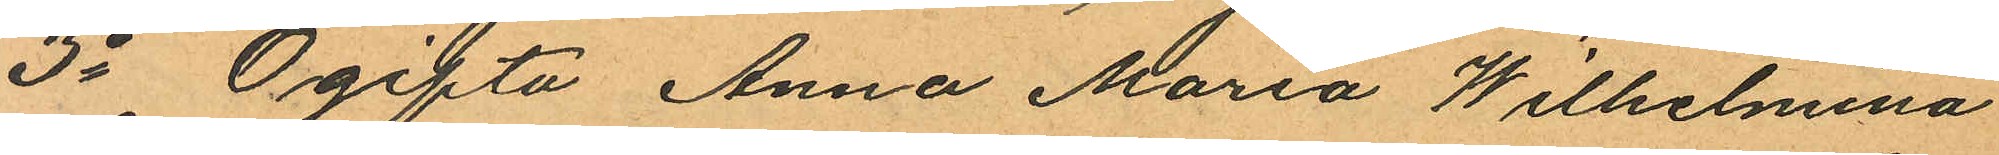3o Ogifta Anna Maria Wilhelmina
